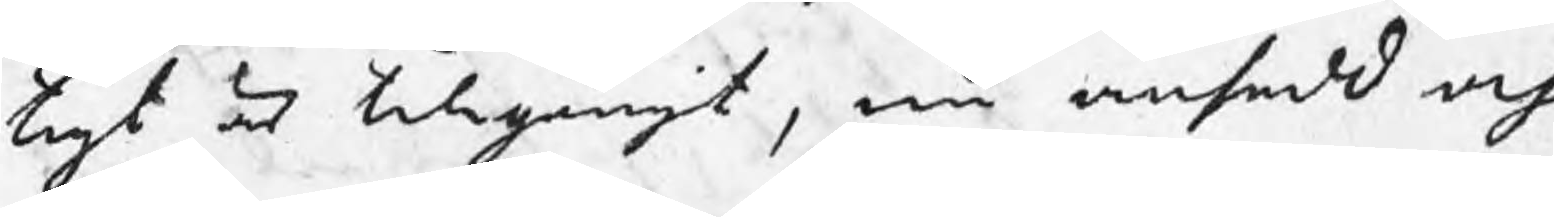tigt är tillgångit, nu ansedd och
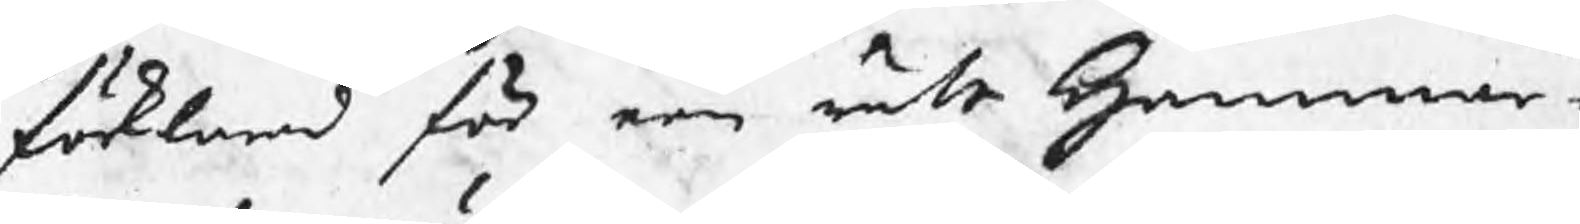förklarad för een rätt Hammar¬
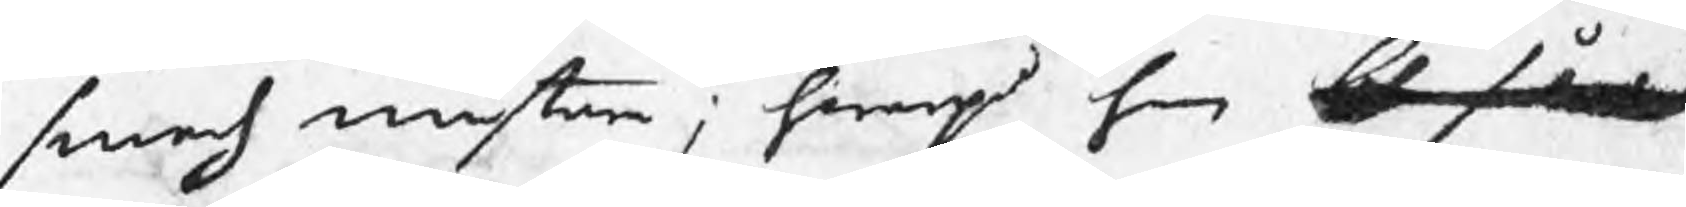smeds mästare ; hwarpå han bl således
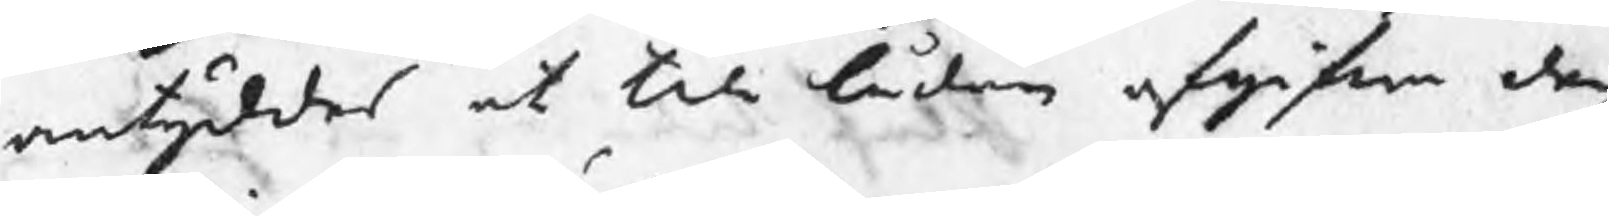antyddes at till lådan afgifwa den
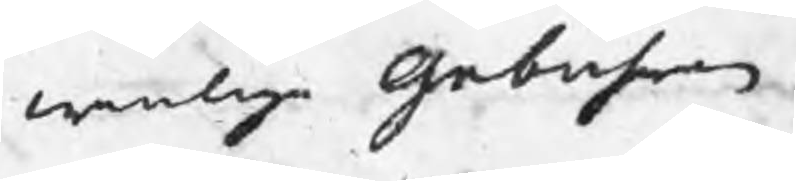wanliga gebuhren.
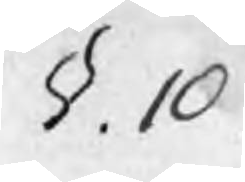§.10
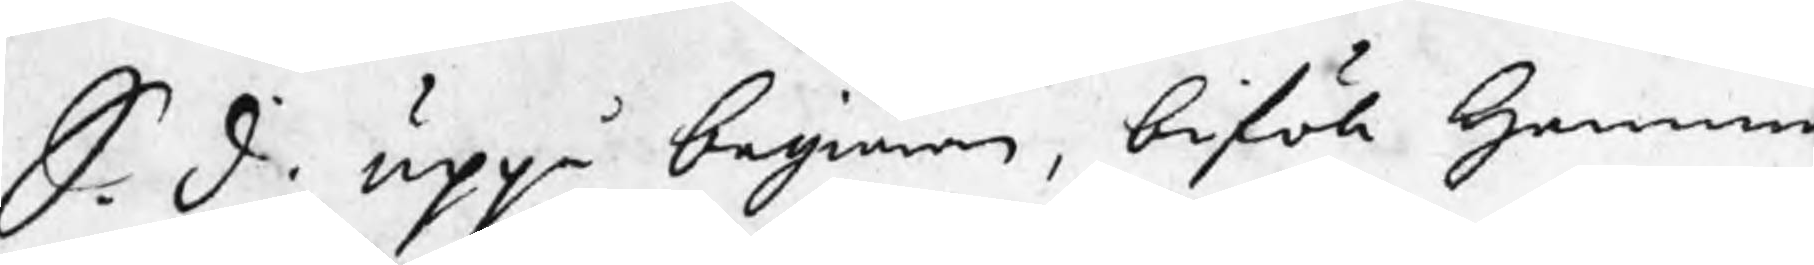S. d. uppå begiäran, biföll Hamma
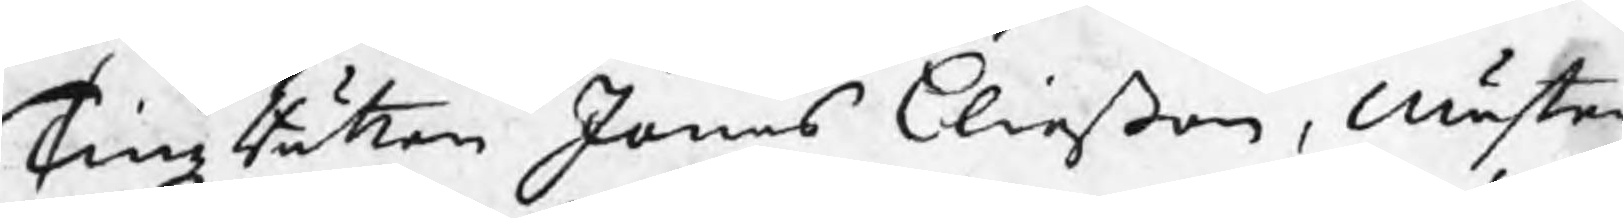TingzRätten Jonas Eliaßon, mäster¬
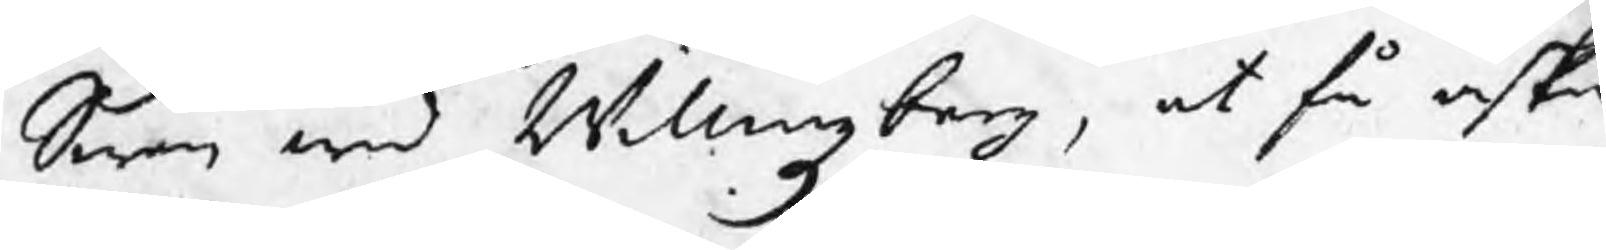Swen wid Willingzberg, at få äska
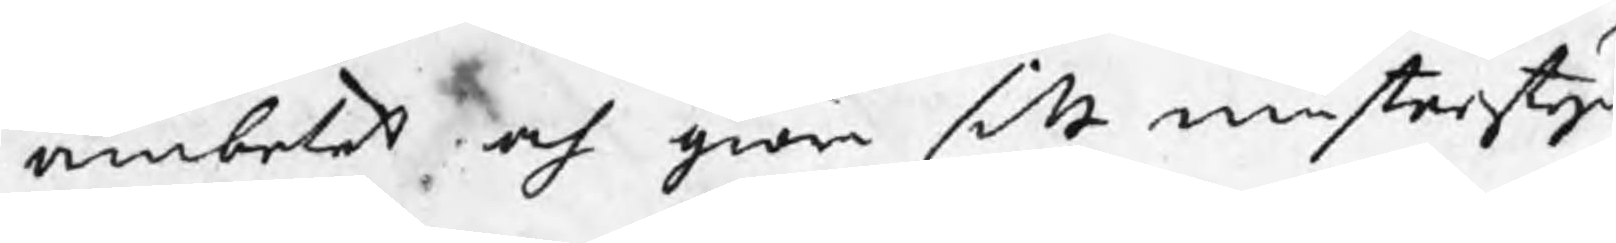ämbetet och giöra sitt mästerstyc
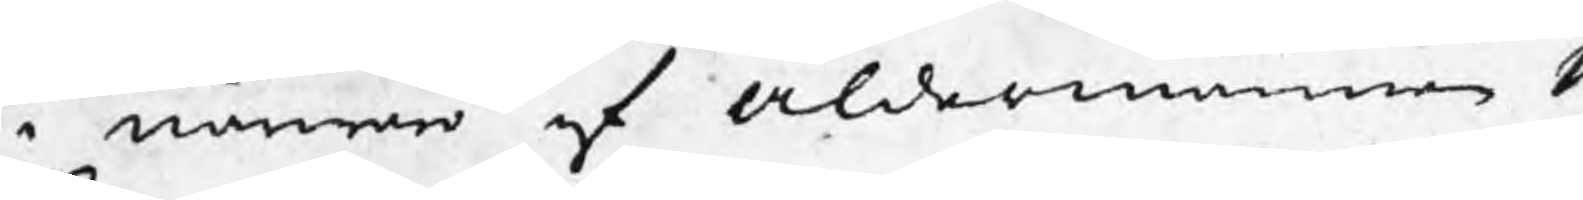i närwaro af Åldermannen M
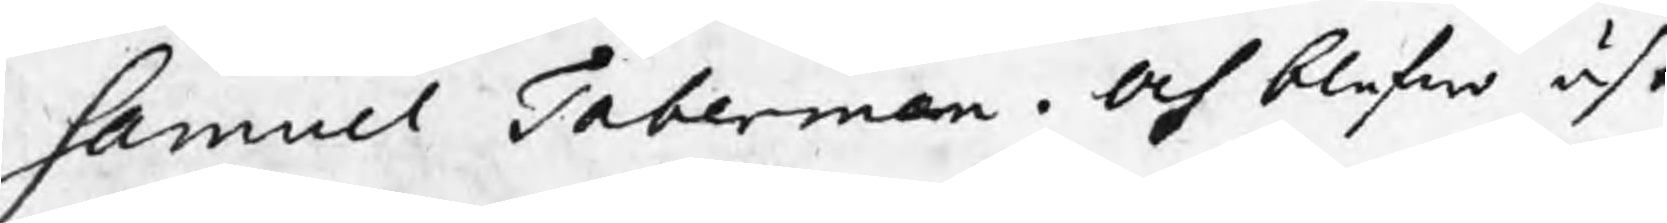Samuel Taberman. Och blefwo äsk
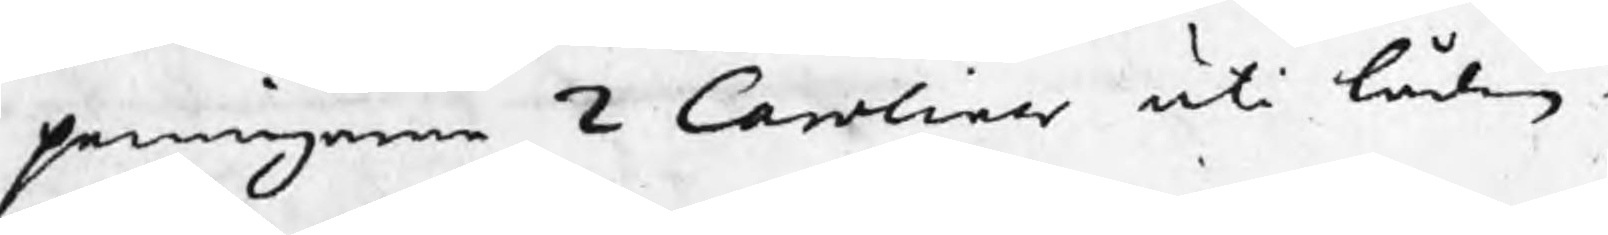penningarne 2 Caroliner uti lådan i
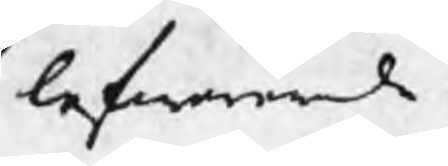lefwererade.
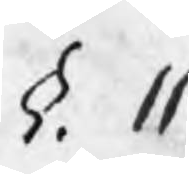§. 11
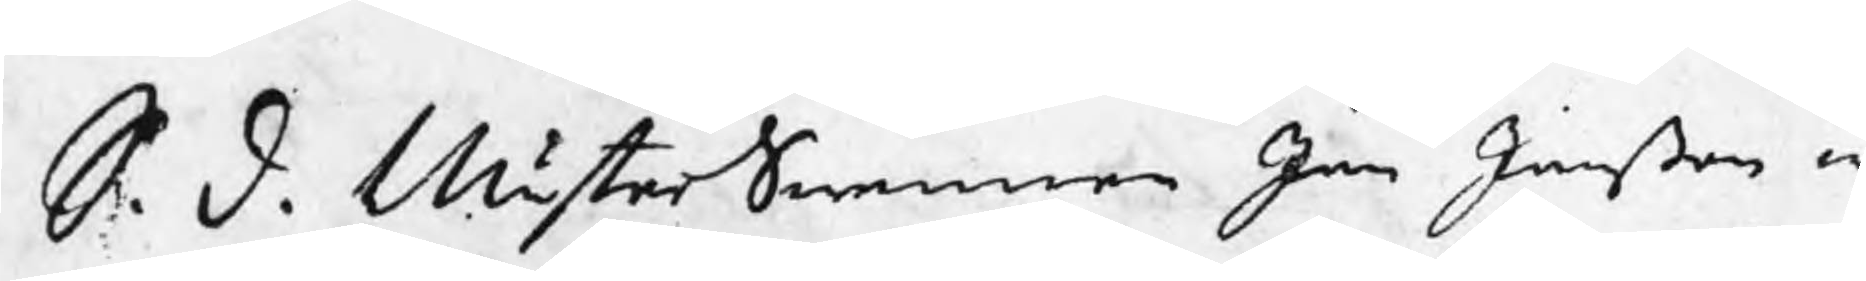S. d. MästerSwennen Jan Janßon w
